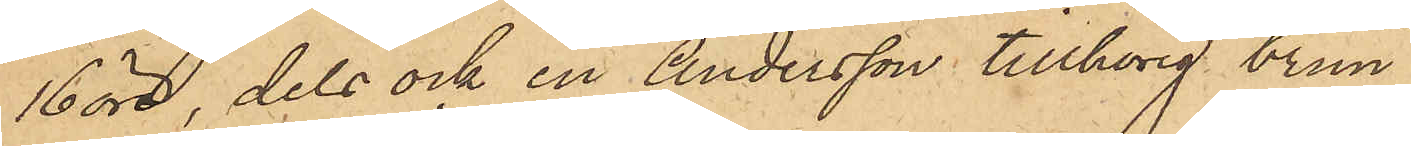16 öre, dels ock en Andersson tillhörig brun
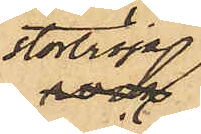stortröja
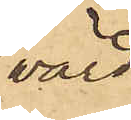värd
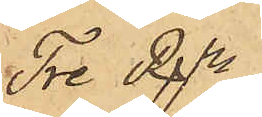Tre Rdr, 
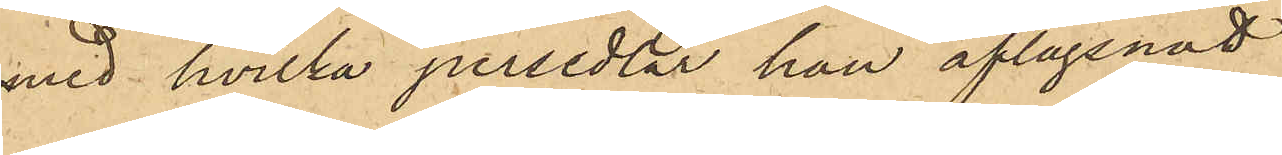med hvilka persedlar han aflägsnadt
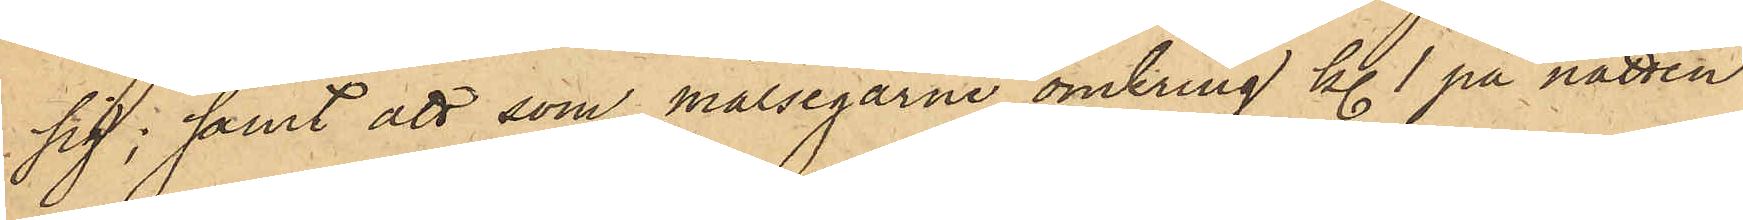sig; samt att som målsegarne omkring kl. 1 på natten
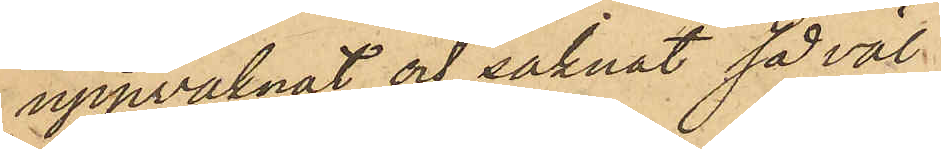uppvaknat och saknat såväl
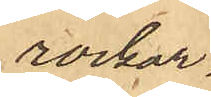rockar¬
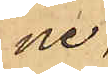ne
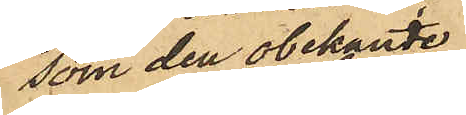som den obekante
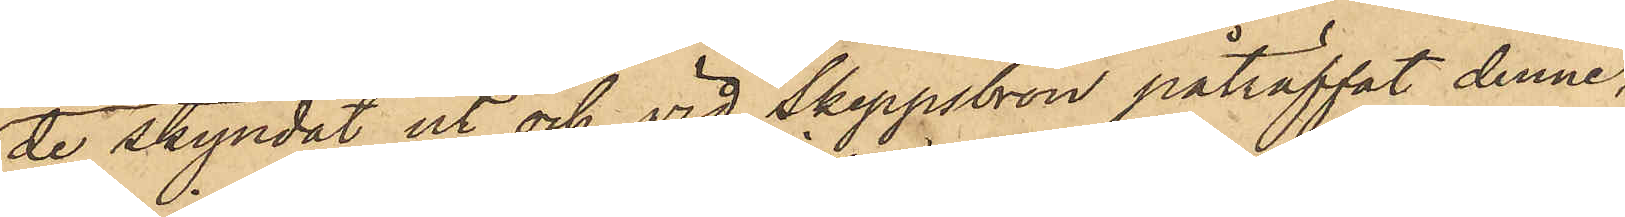de skyndat ut och vid Skeppsbron påträffat denne,
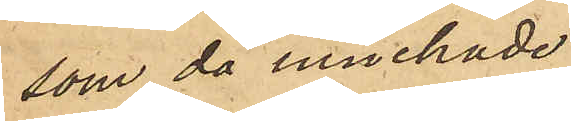som då innehade
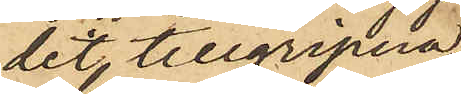det tillgripne.
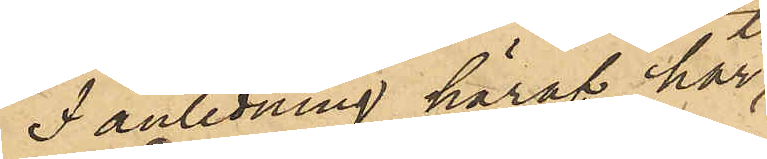I anledning häraf har
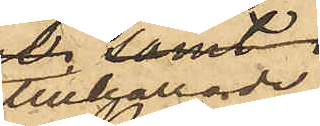tillkallade
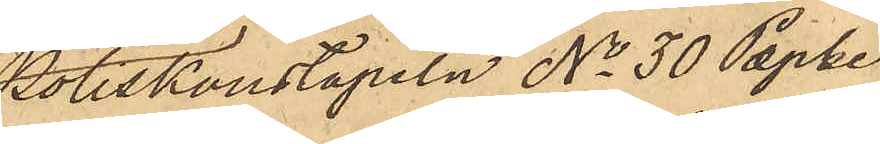Poliskonstapeln No 30 Pepke
